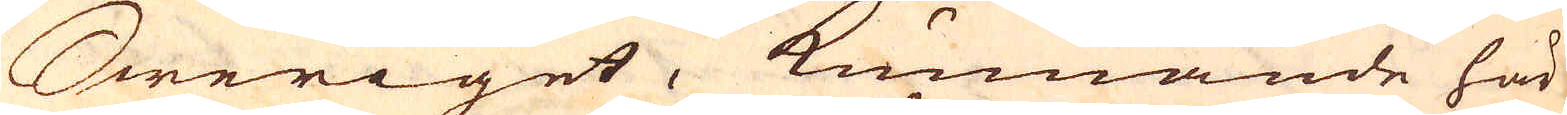Sweriget, kunnande här
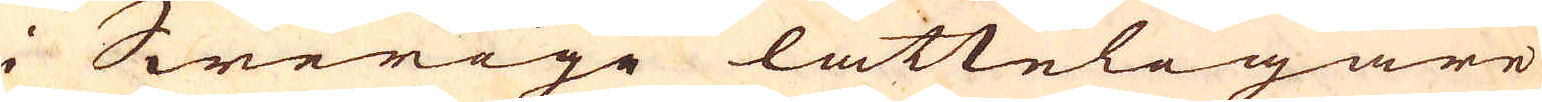i Swerige lätteligare
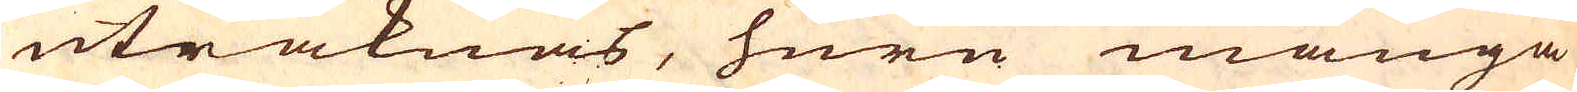uträknas, huru många
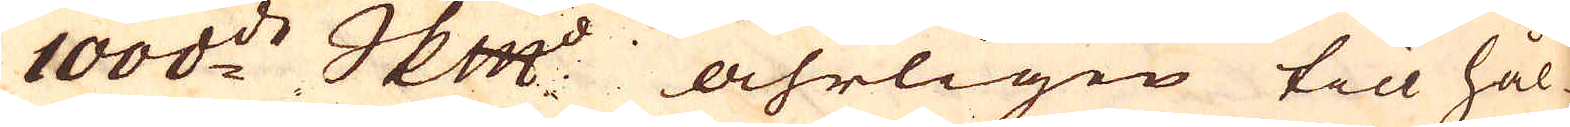1000:de skeppund åhrligen till Hål-
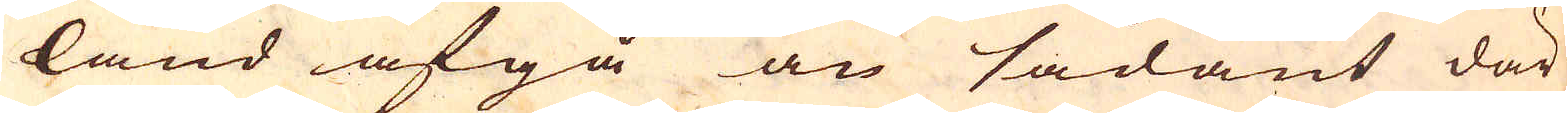land afgå än sådant där
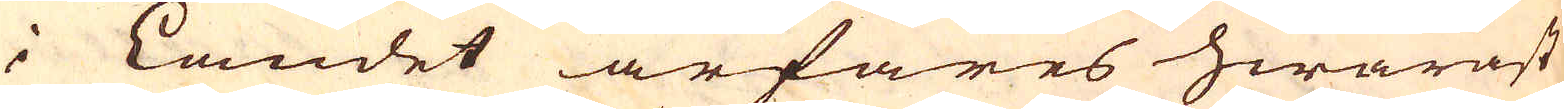i Landet ärfares hwaräst
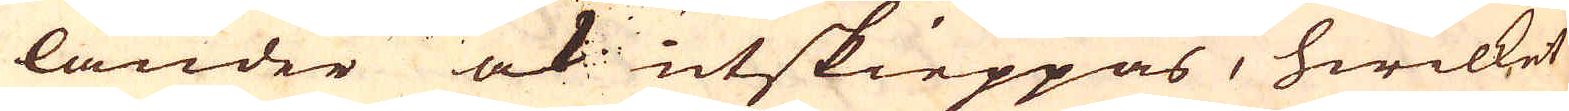länder ock utskieppas, hwilket
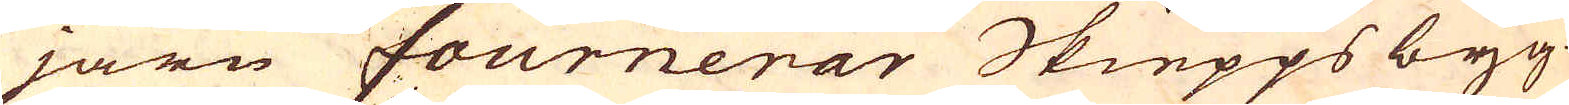järn fournerar Skiepps byg-
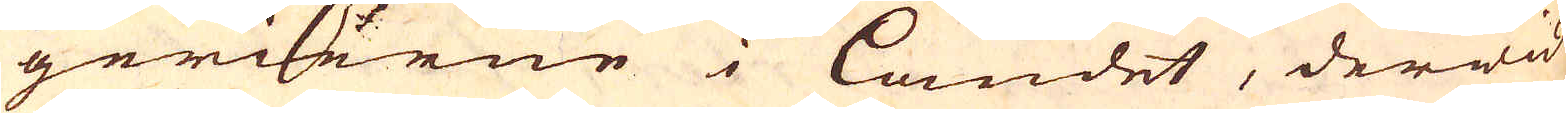gerierne i landet, derwid
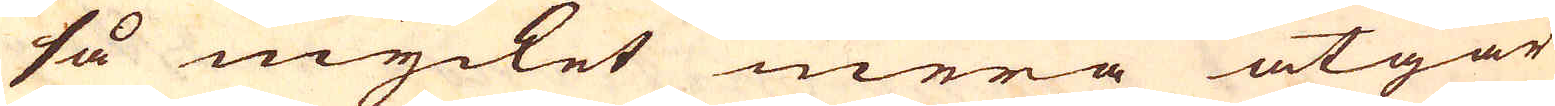så mycket mera åtgår
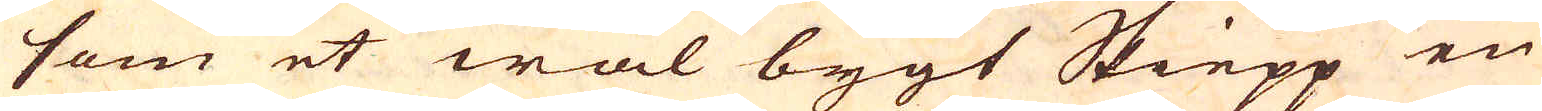som et wäl bygt Skiepp en
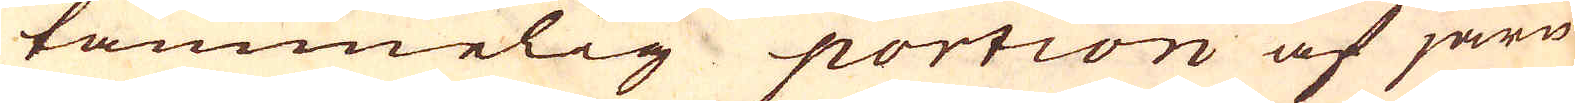tämmelig portion af järn
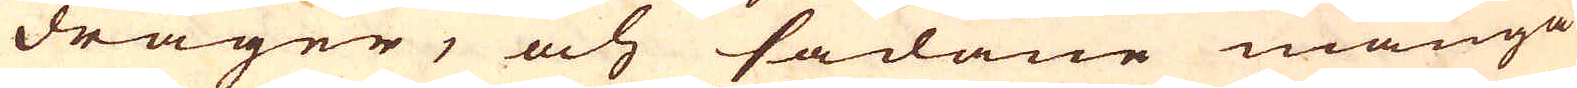drager, och sådane många
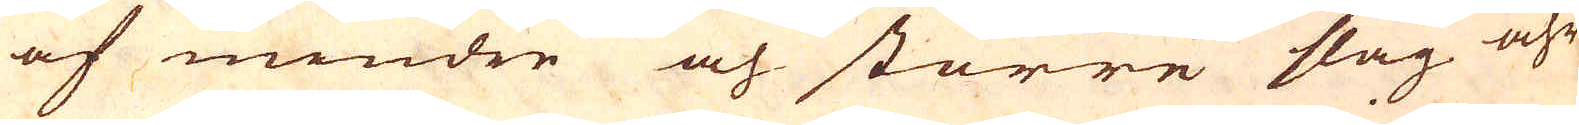af mindre och större slag åhr-
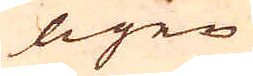ligen
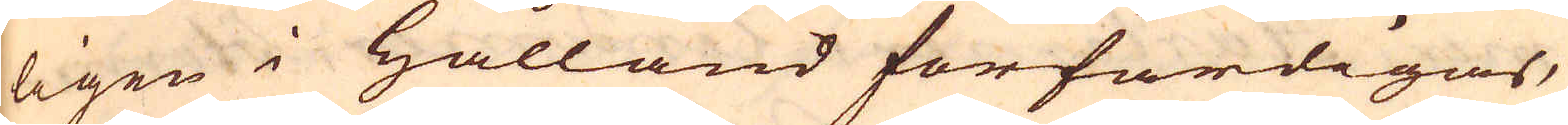ligen i Hålland förfärdigas,
